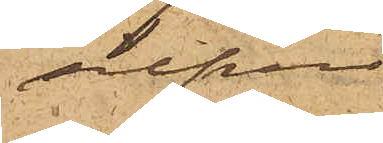silfver
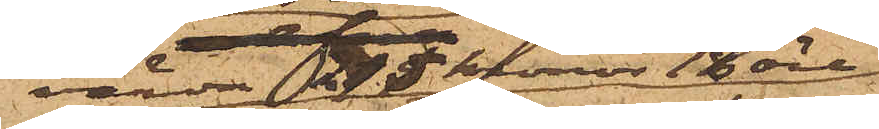värda 215 kronor 18 öre
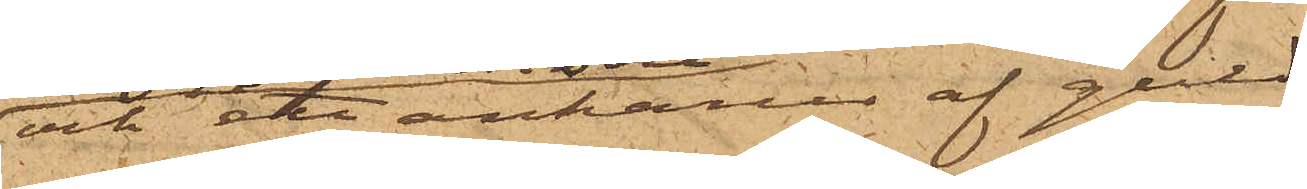och ett ankarur af guld
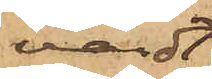värdt
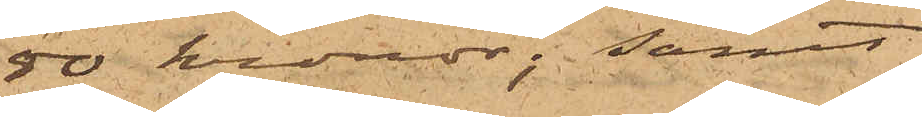50 kronor; samt
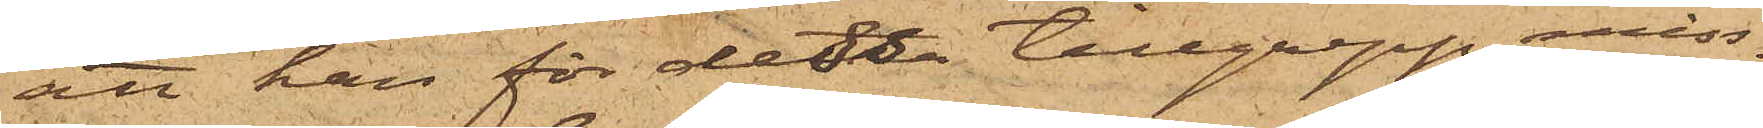att han för detta tillgrepp miss¬
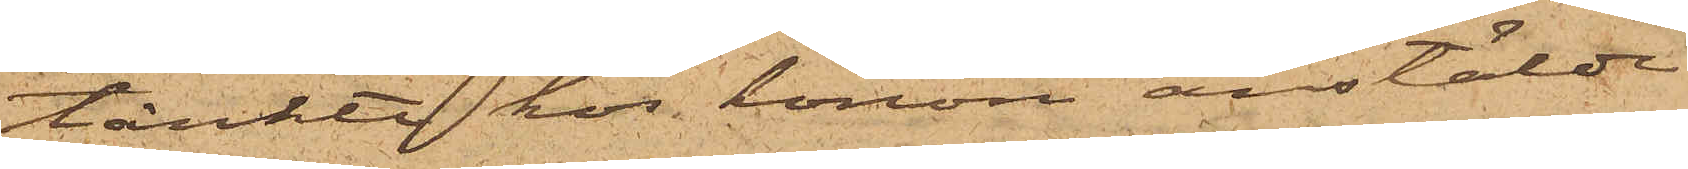tänkte hos honom anstälde
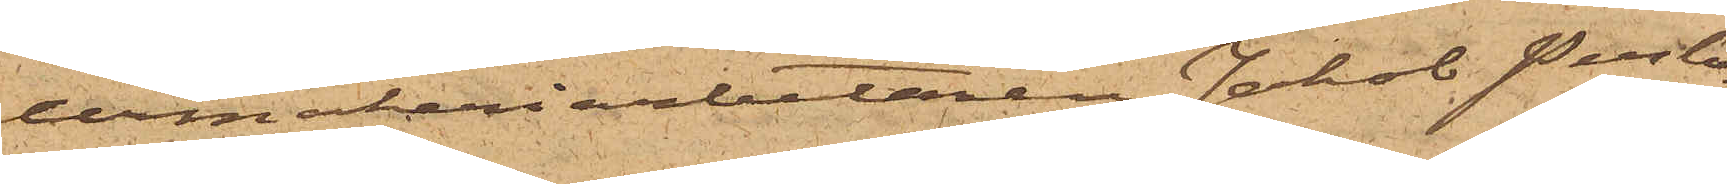urmakeriarbetaren Jakob Perlo¬
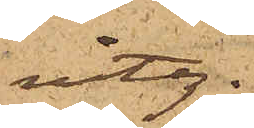vitz.
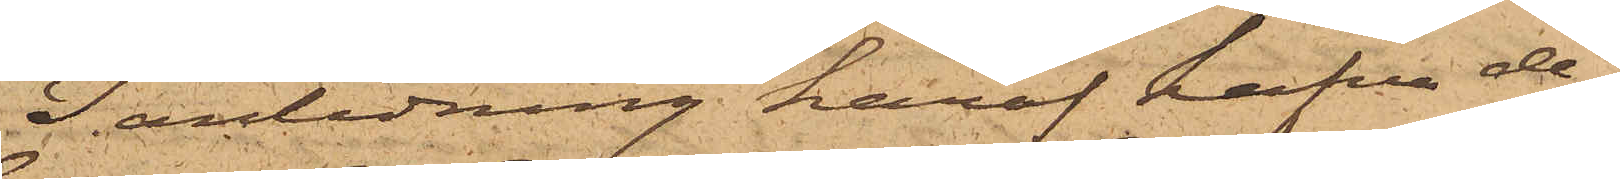I anledning häraf hafva de¬
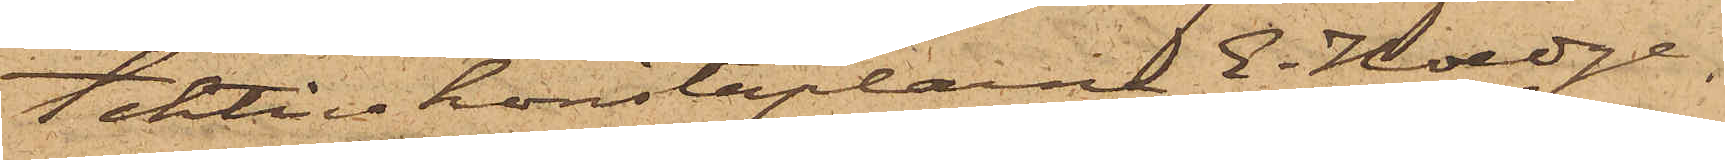tektivkonstaplarne E. Hoedge,
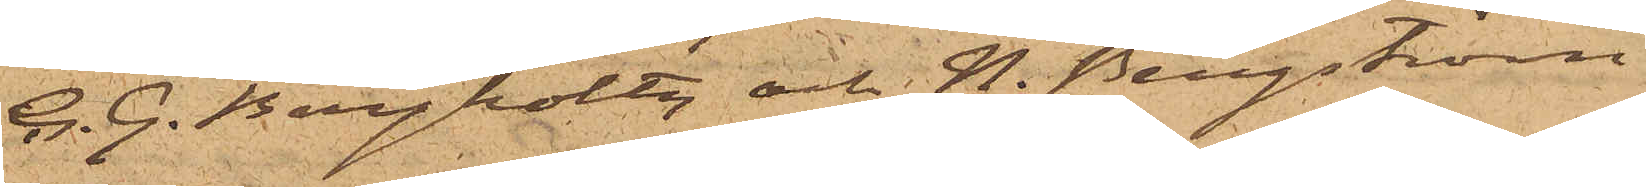C. G. Bergholtz och H. Bergström
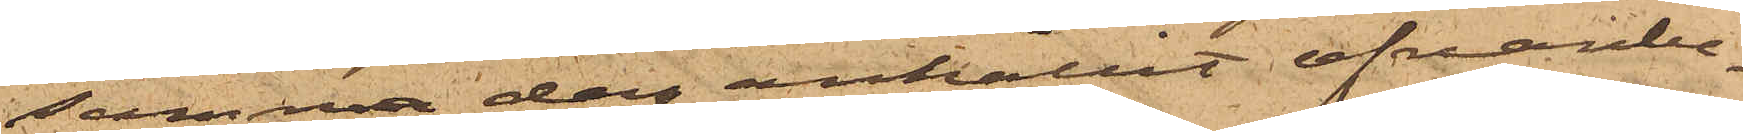samma dag anhållit ofvanbe¬
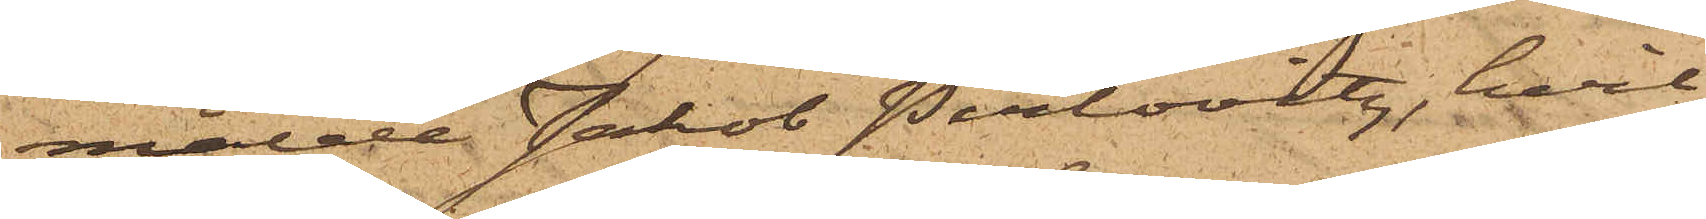mälde Jakob Perlovitz, hvil¬
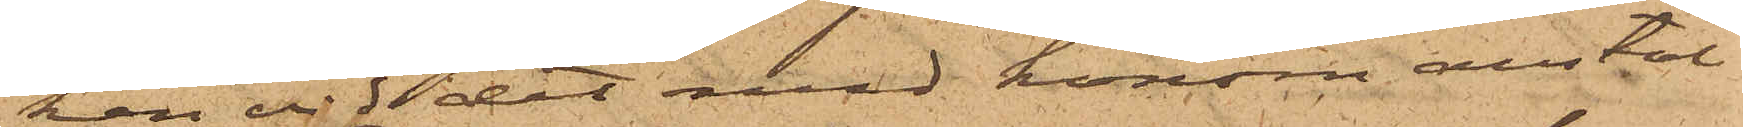ken vid det med honom anstäl¬
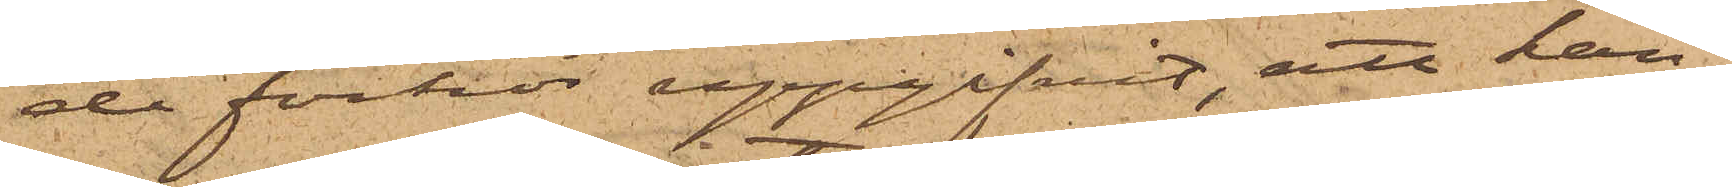de förhör uppgifvit, att han
